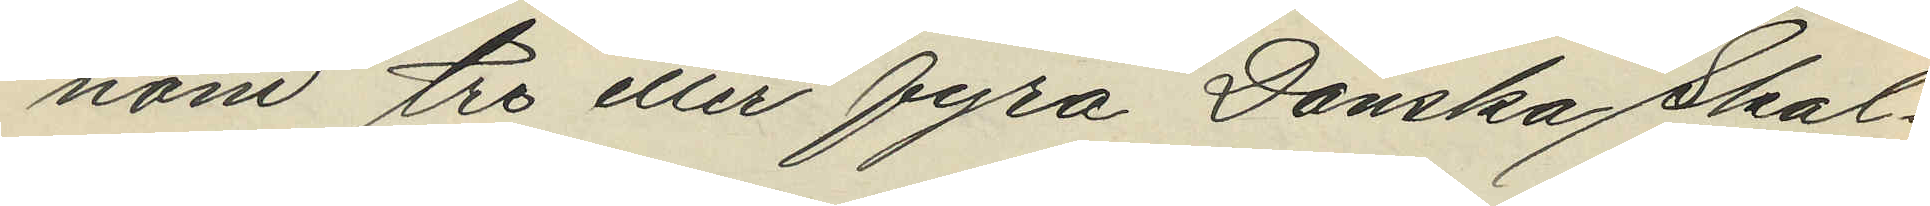nom tre eller fyra Danska Skal¬
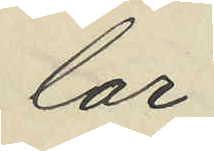lar;
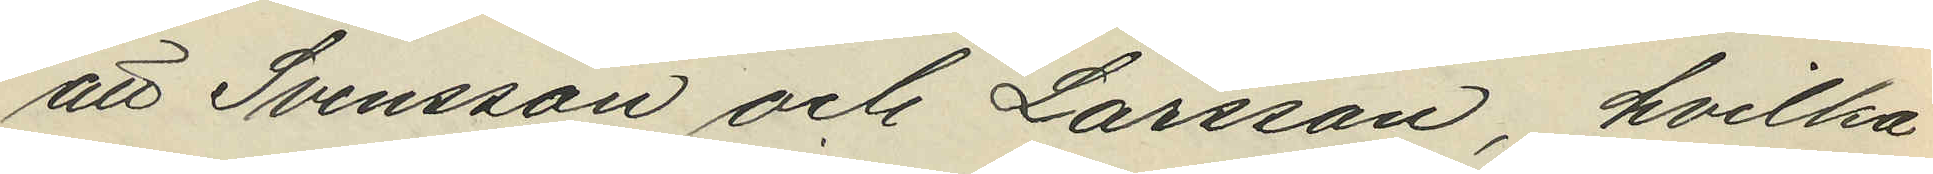att Svensson och Larsson, hvilka
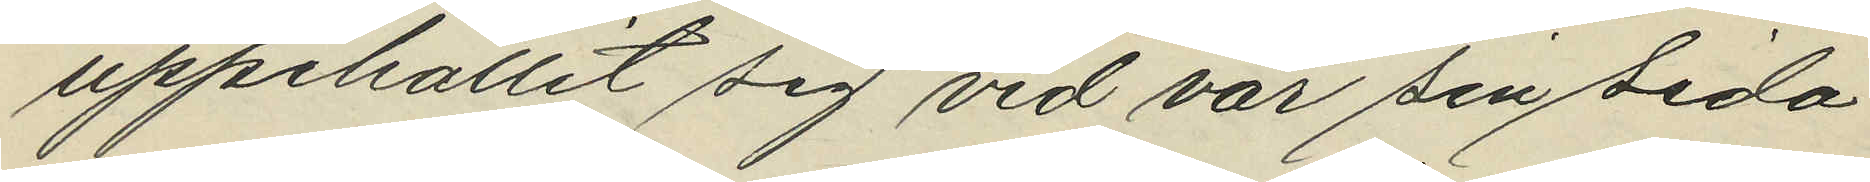uppehållit sig vid var sin sida
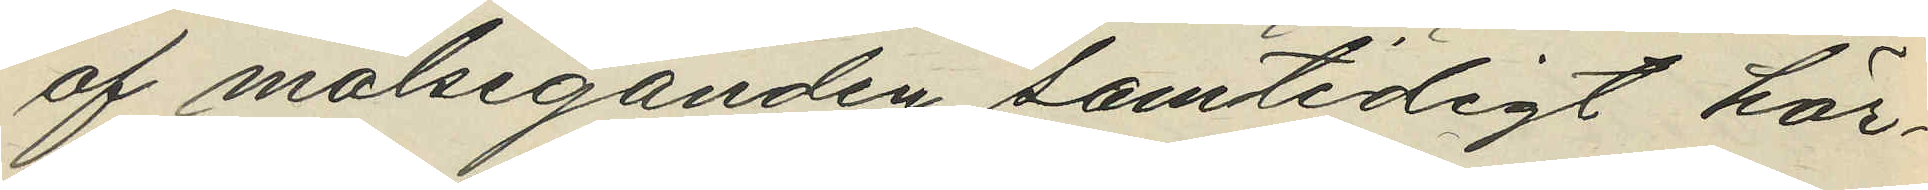af målseganden samtidigt här¬
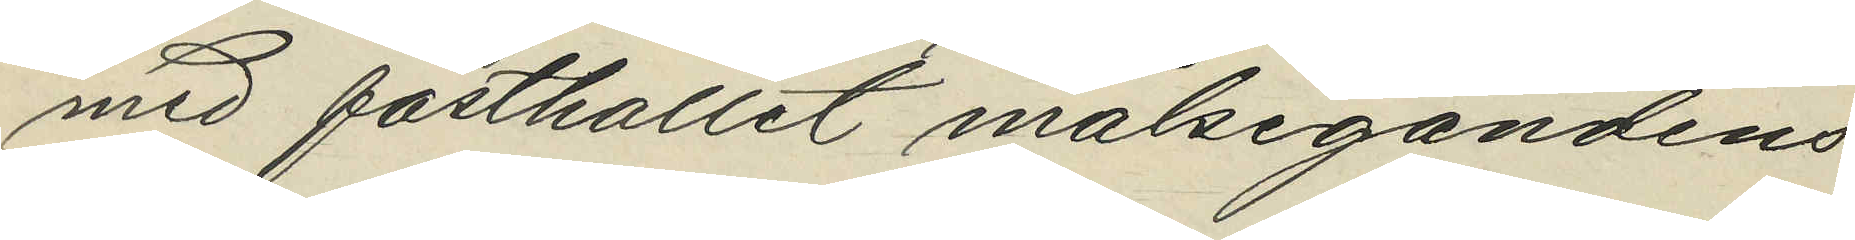med fasthållit målsegandens
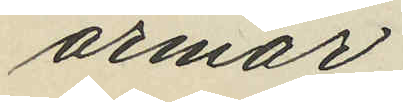armar;
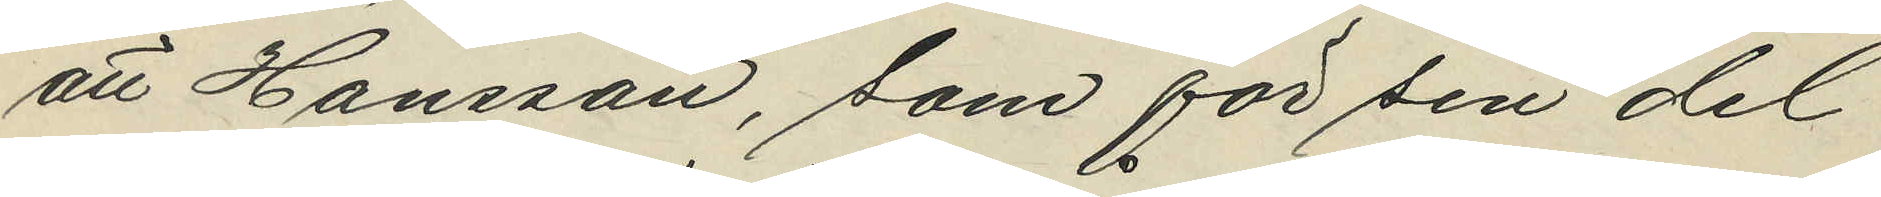att Hansson, som för sin del
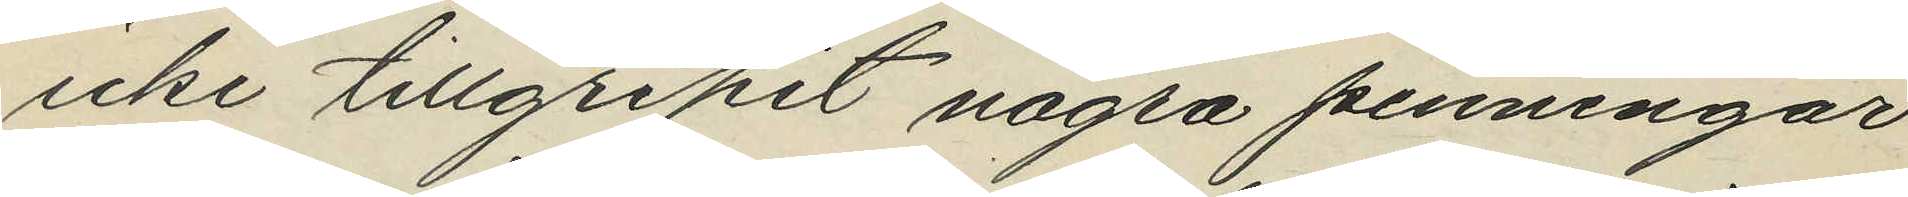icke tillgripit några penningar
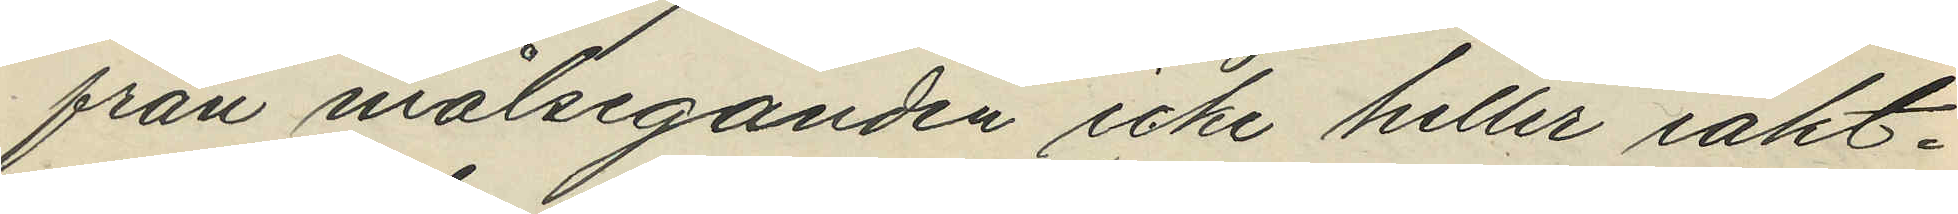från målseganden icke heller iakt¬
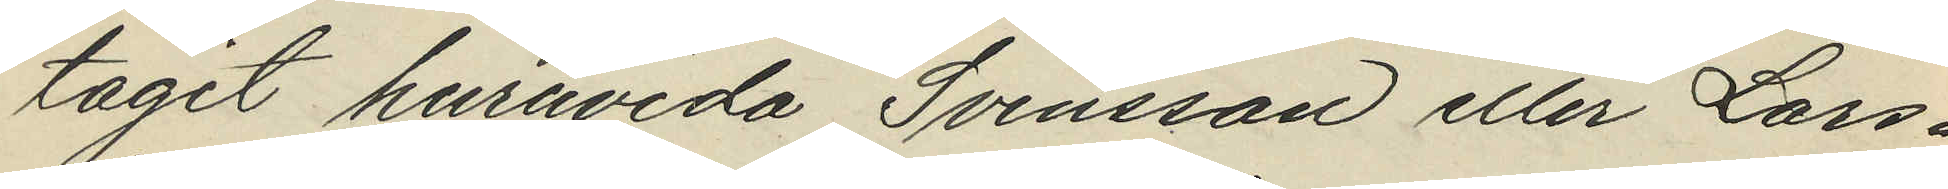tagit huruvida Svensson eller Lars¬
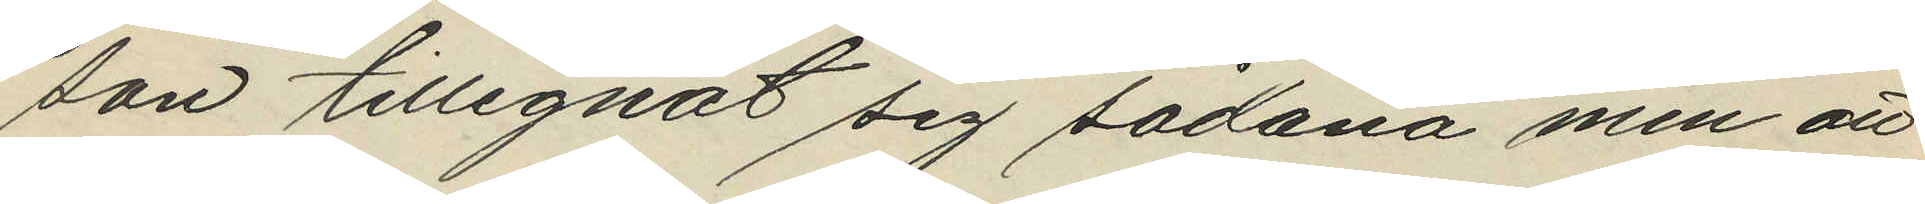son tillegnat sig sådana men att
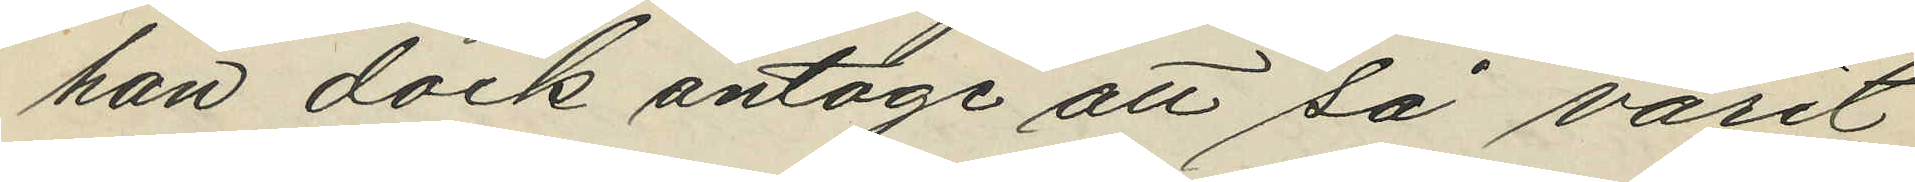han dock antoge att så varit
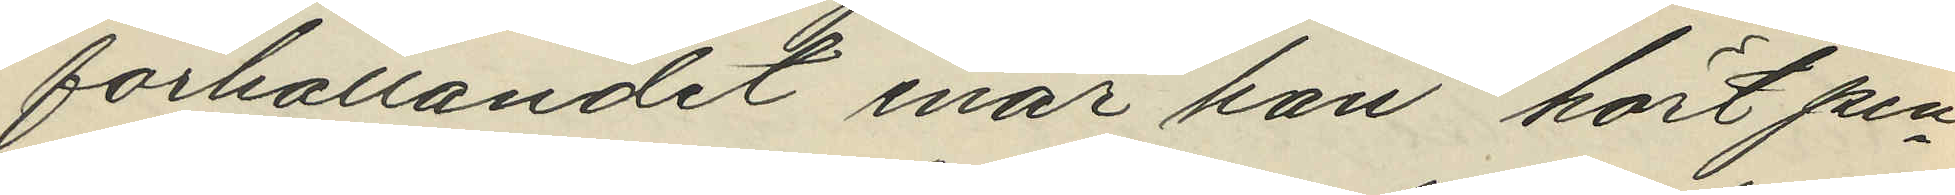förhållandet enär han hört pen¬
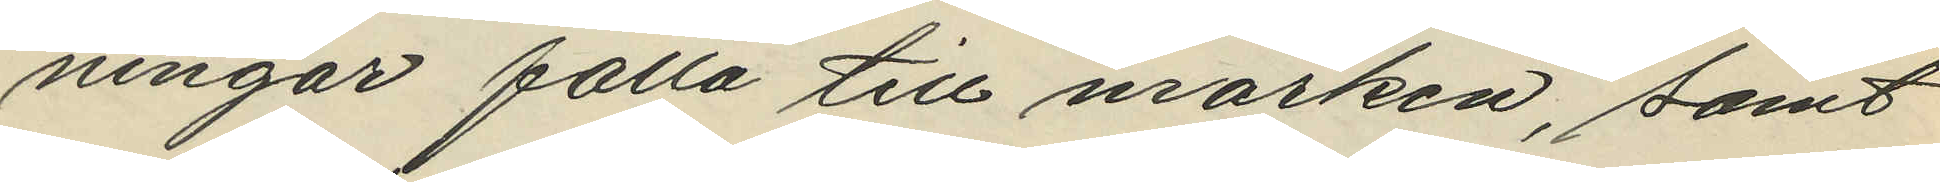ningar falla till marken, samt
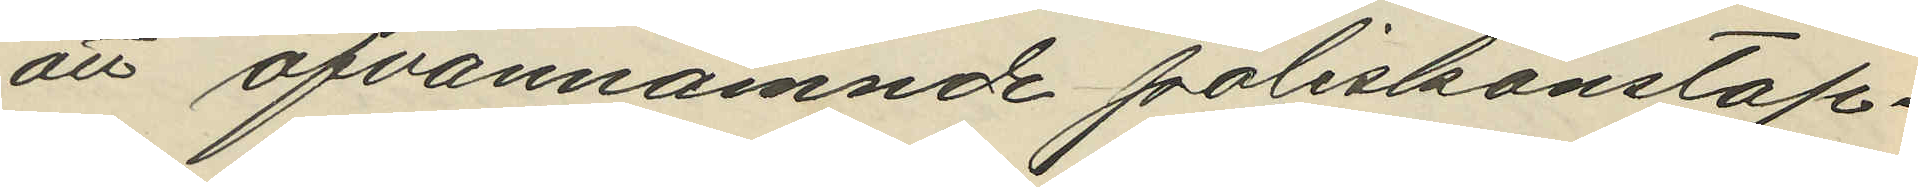att ofvannämnde poliskonstap¬
